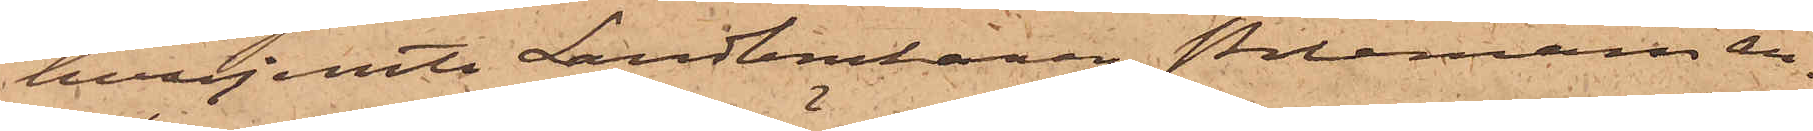hvarjemte Landbrukaren Poleman an¬
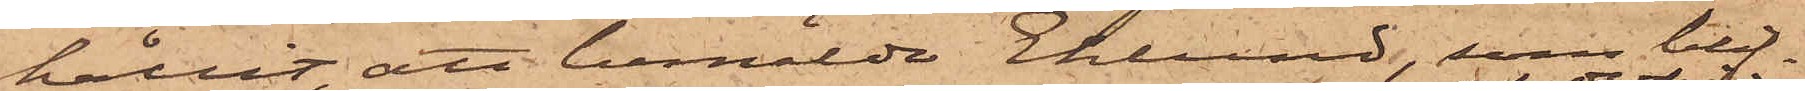hållit, att bemälde Eklund, som blif¬
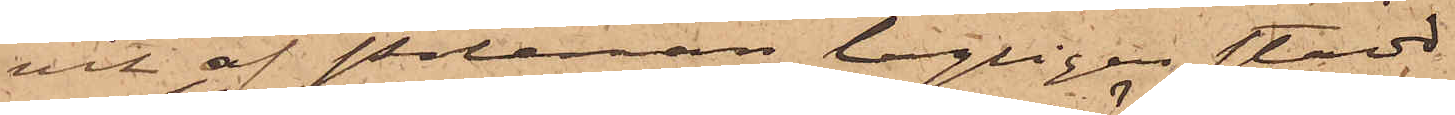vit af Poleman lagligen stadd
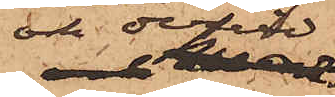och dervid
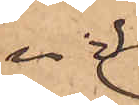vid
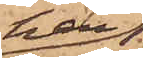han
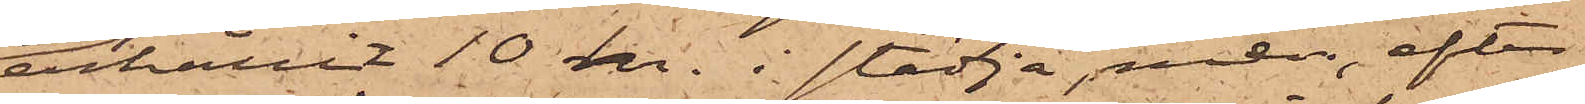erhållit 10 kr. i städja, men efter
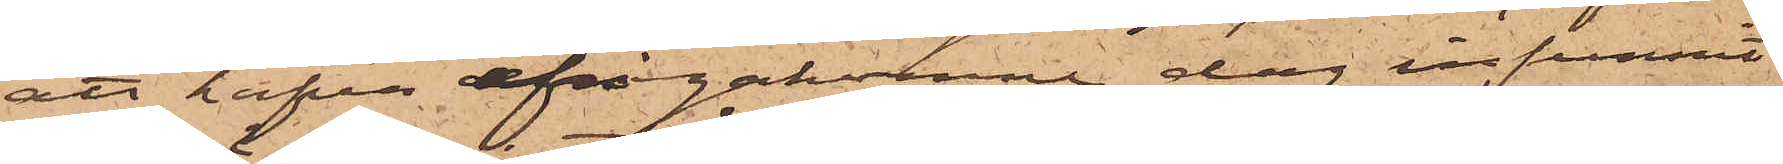att hafva ifrågakomne dag infunnit
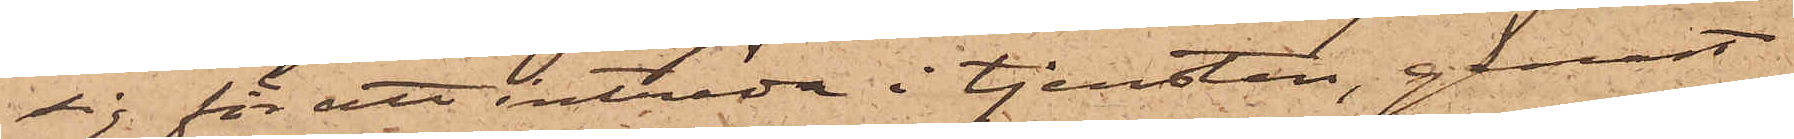sig för att inträda i tjensten, genast
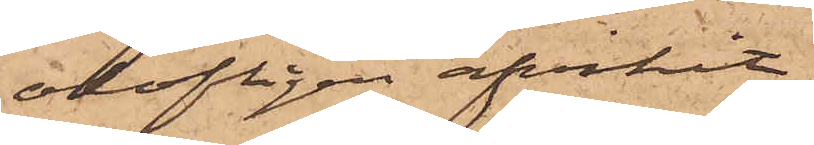olofligen afvikit;
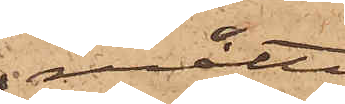måtte
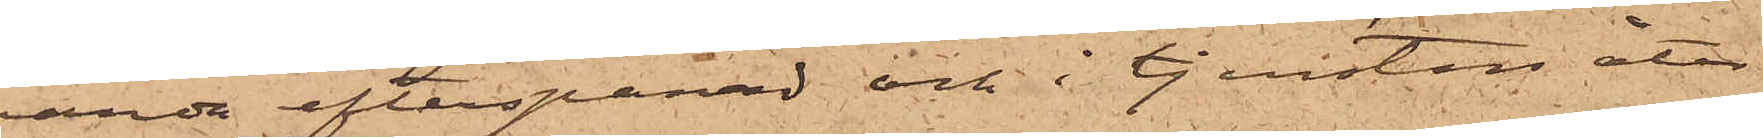varda efterspanad och i tjensten åter¬
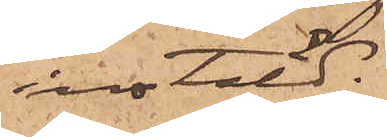instäld.
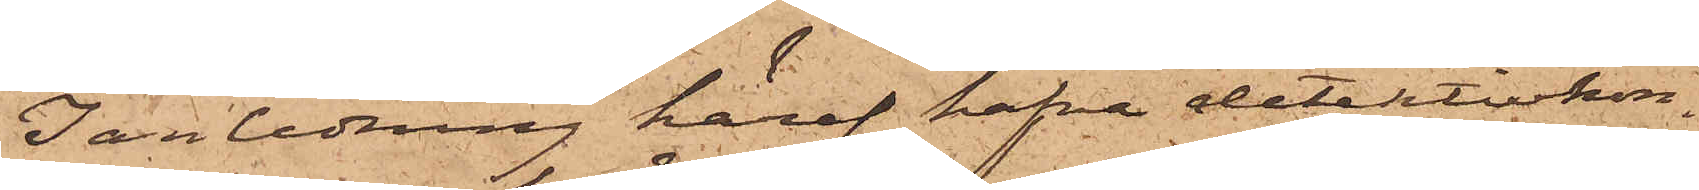I anledning häraf hafva detektivkon¬
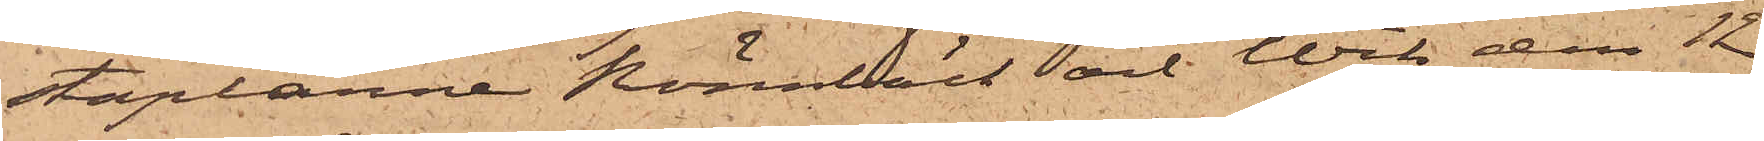staplarne Rönnbäck och Wik den 12
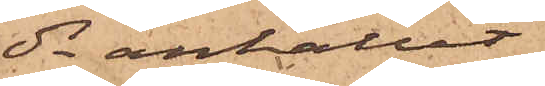ds anhållit
